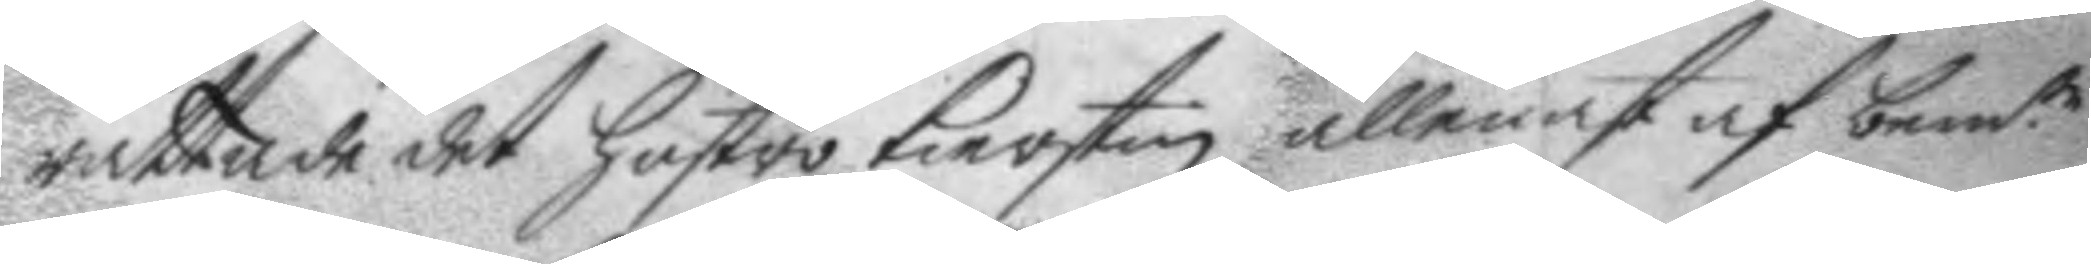rättade det hustro Kierstin allenast af bem.te
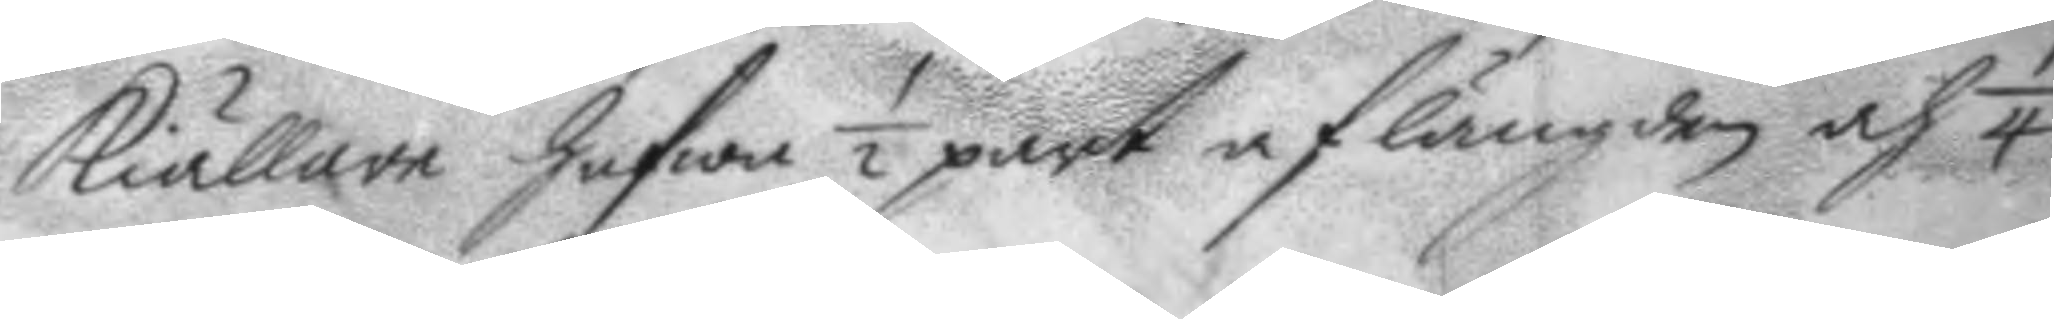Kiällare hafwa ½ part af längden och 1/4
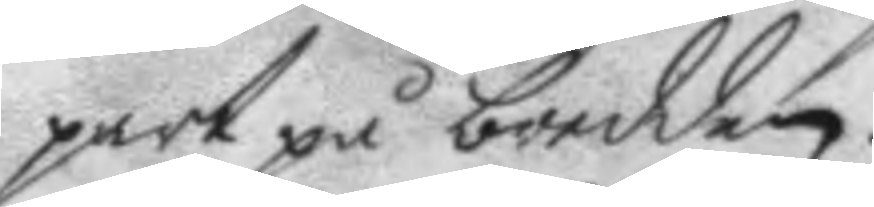part på bredden.
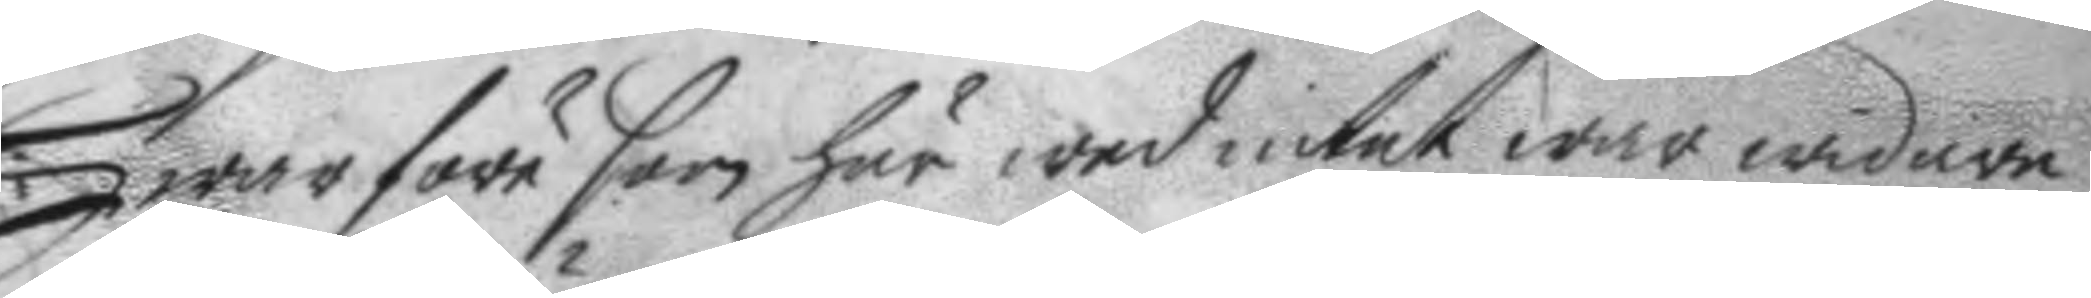Hwarföre som här wed intet war widare
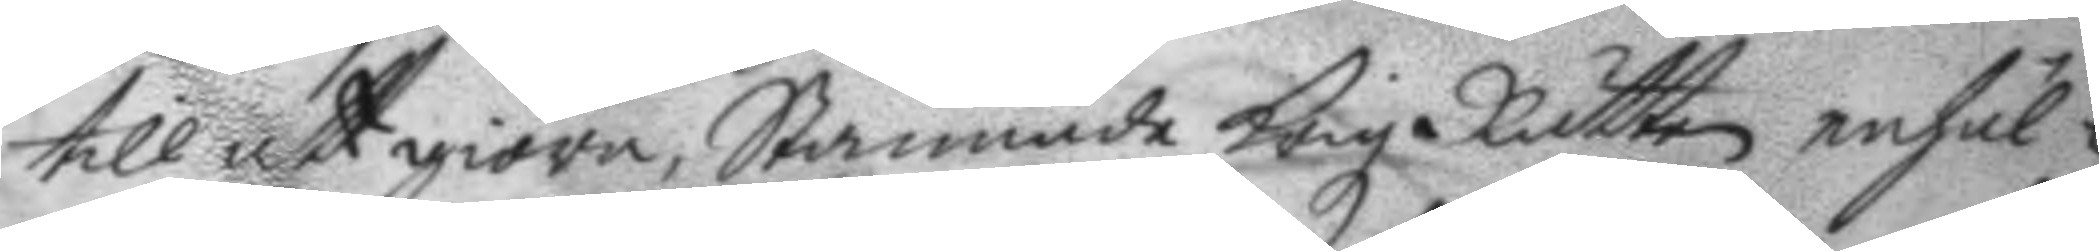till att giöra, Stannade Krigz Rätten enhäl¬
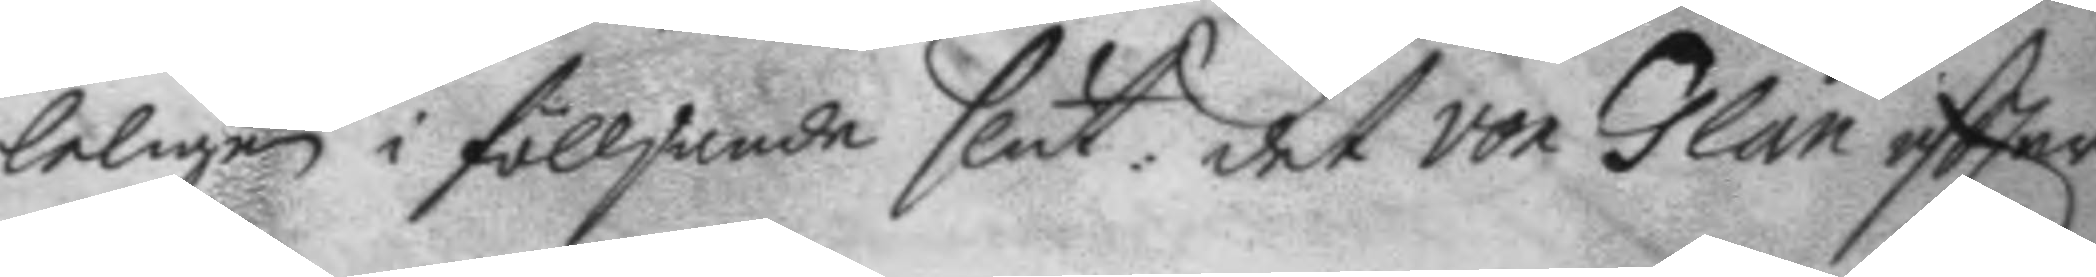leligen i fölljande slut: det von Glan eftter
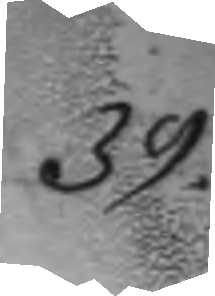39.
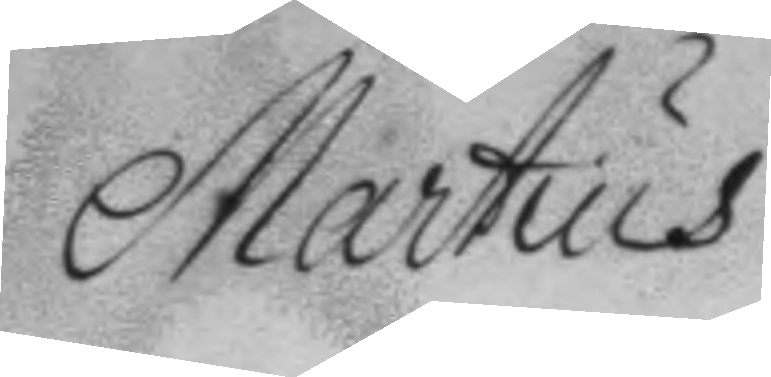Martius
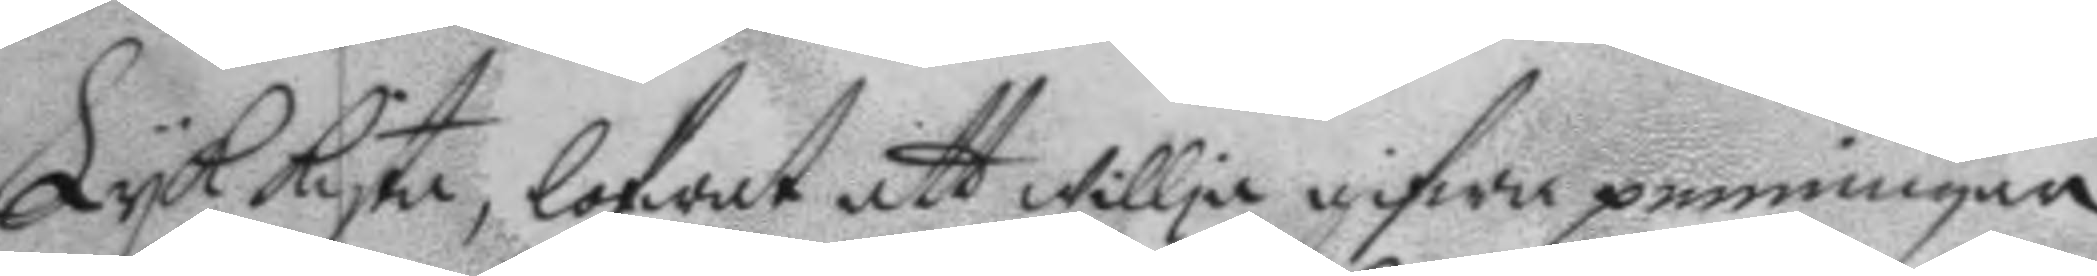Lyk kista, lofwat att willja gifwa penningar
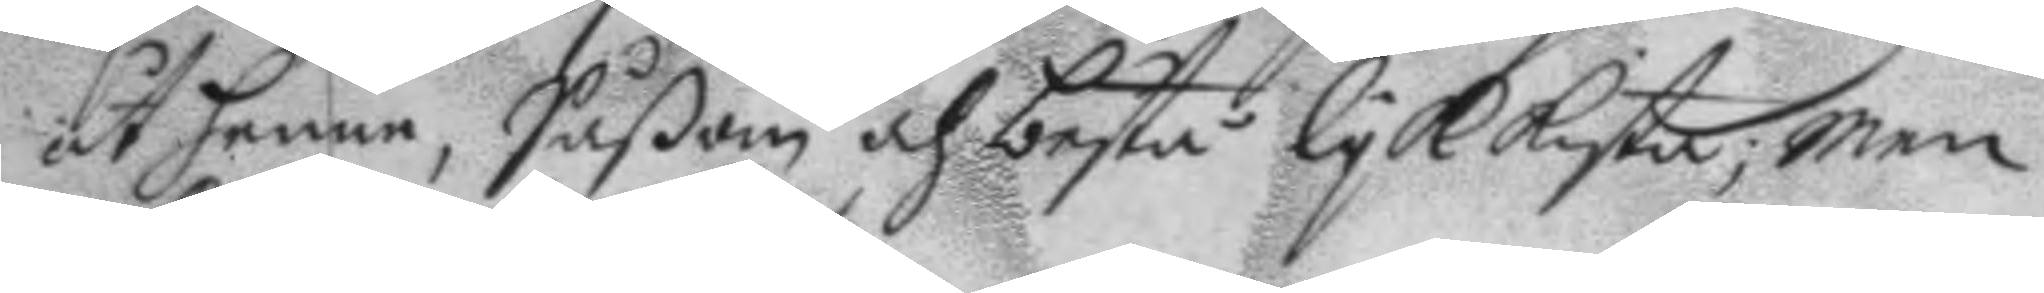åt henne, såßom och bestå lyk kista; men
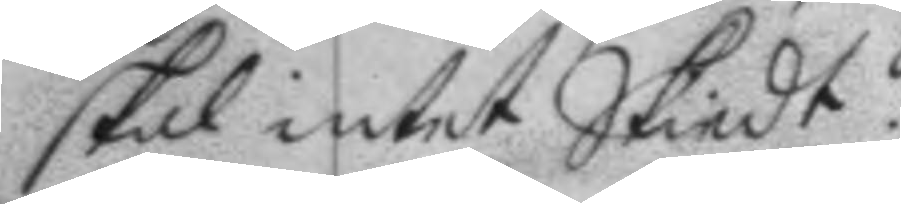skal intet Skiedt.
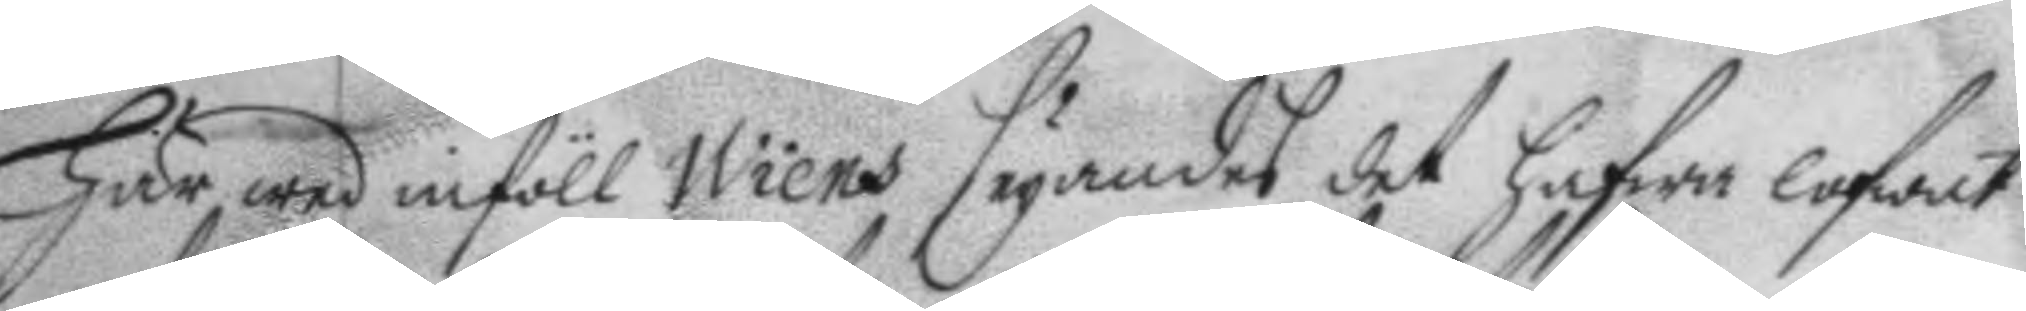Här wed inföll Wiens seyandes det hafwa lofwat
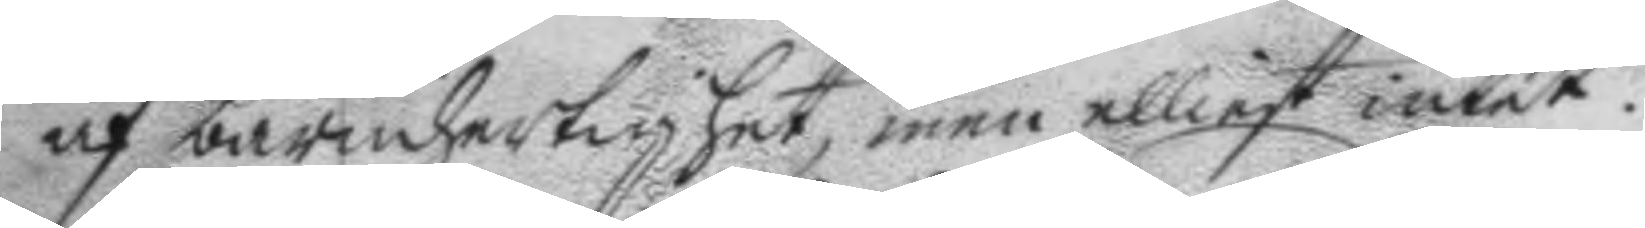af barmhertighet, men elliest intet.
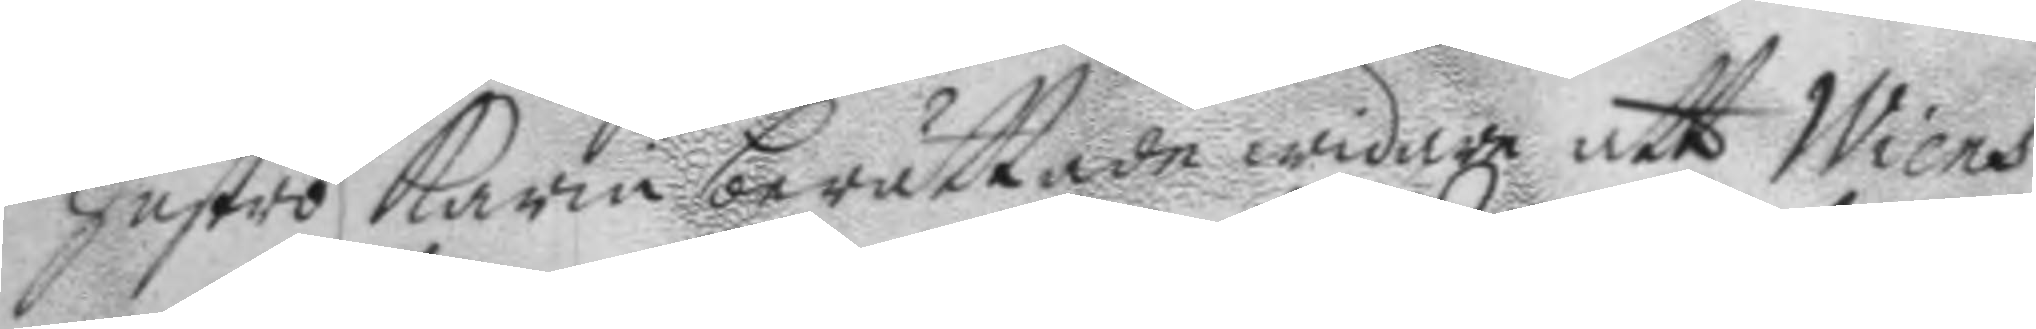Hustro Karin berättade widare att Wiens
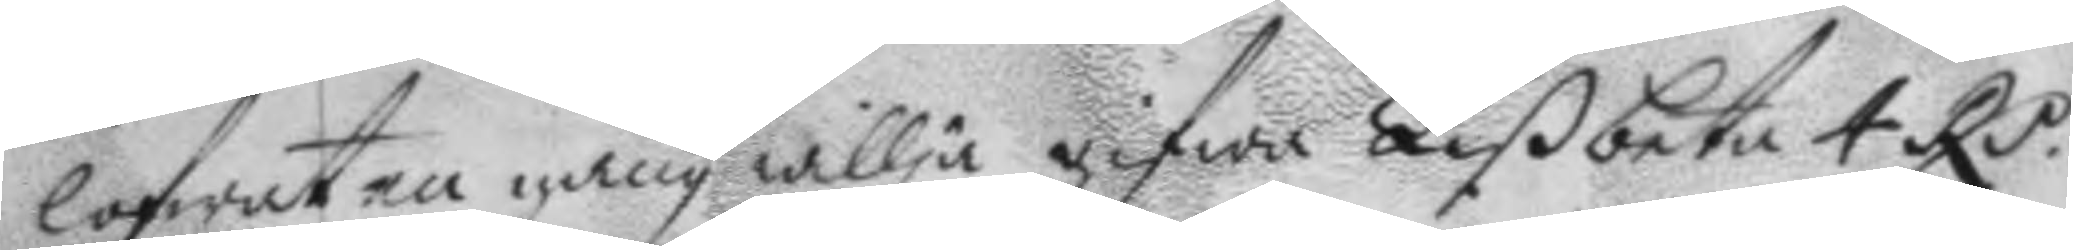lofwat en gång willja gifwa Lißbeta 4 RP. 
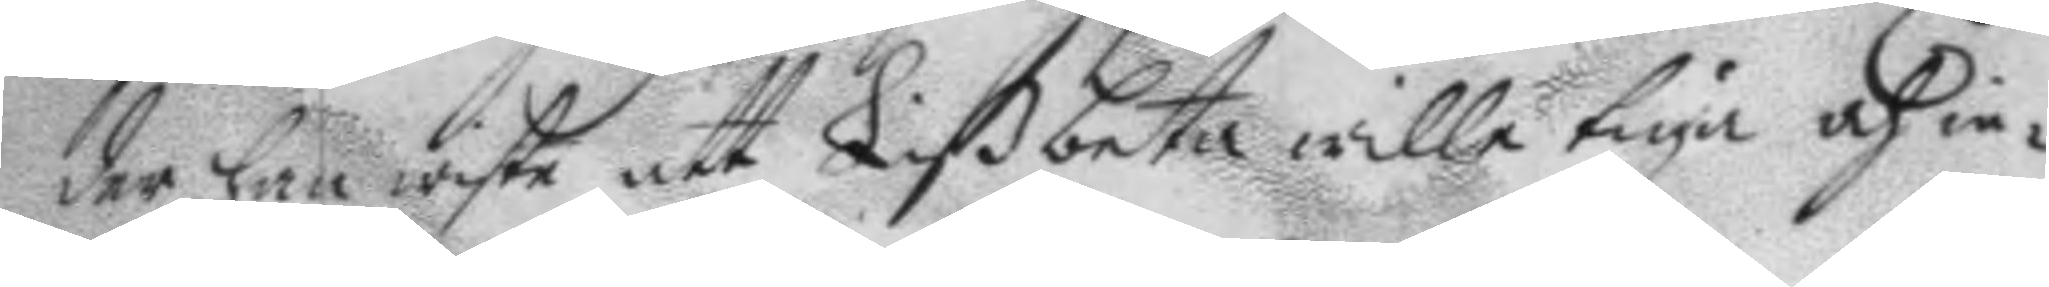der han wiste att Lißbeta wille tiga och in¬
